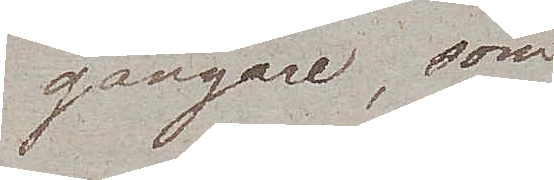gängare, som
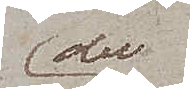der
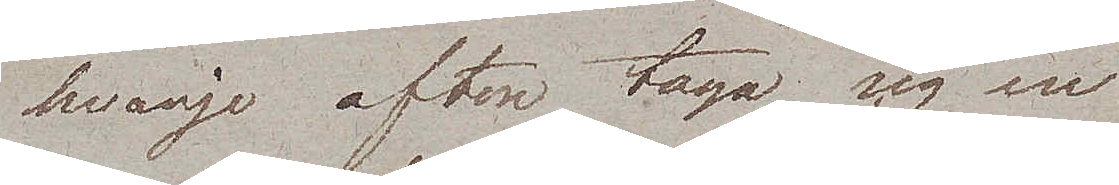hvarje afton taga sig en
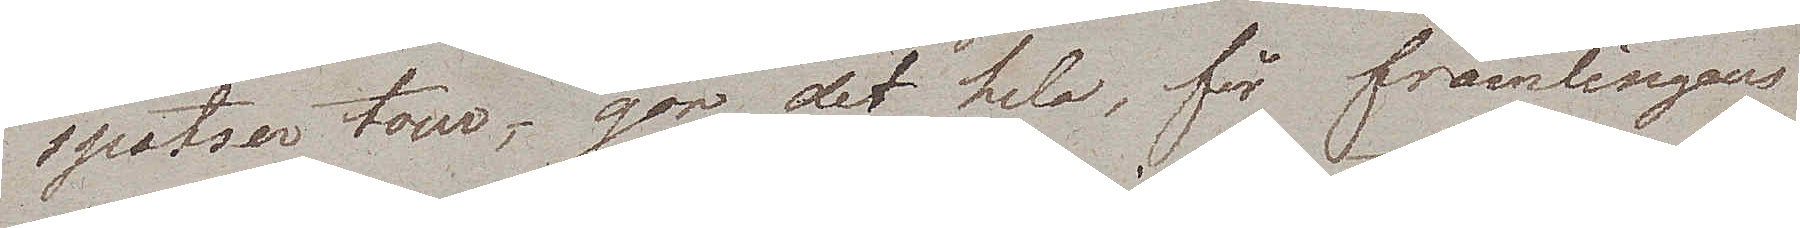spatser tour, gör det hela, för främlingens
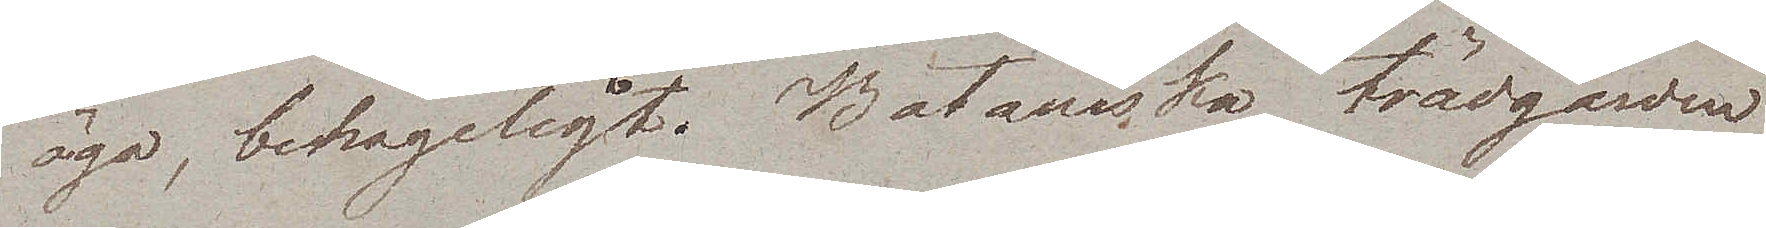öga, behageligt. Botaniska trädgården
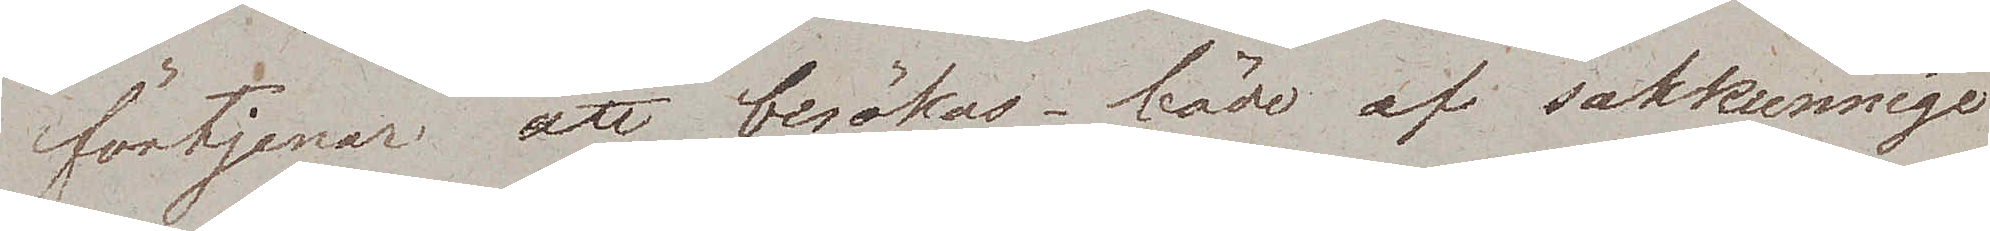förtjenar att besökas – både af sakkunnige
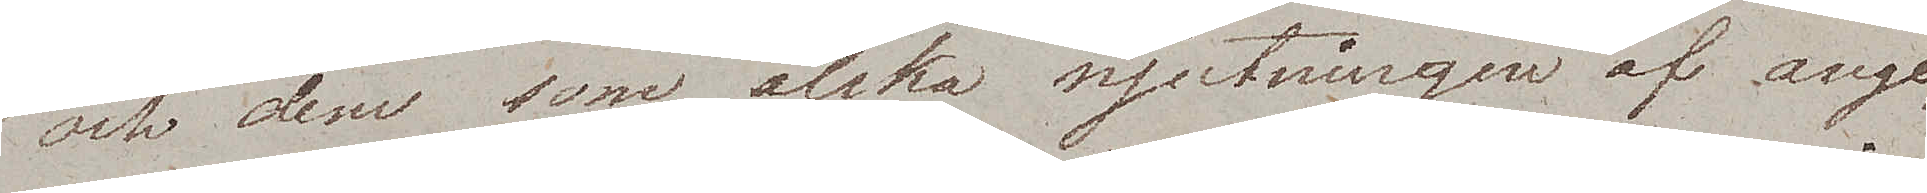och dem som älska njutningen af ange¬
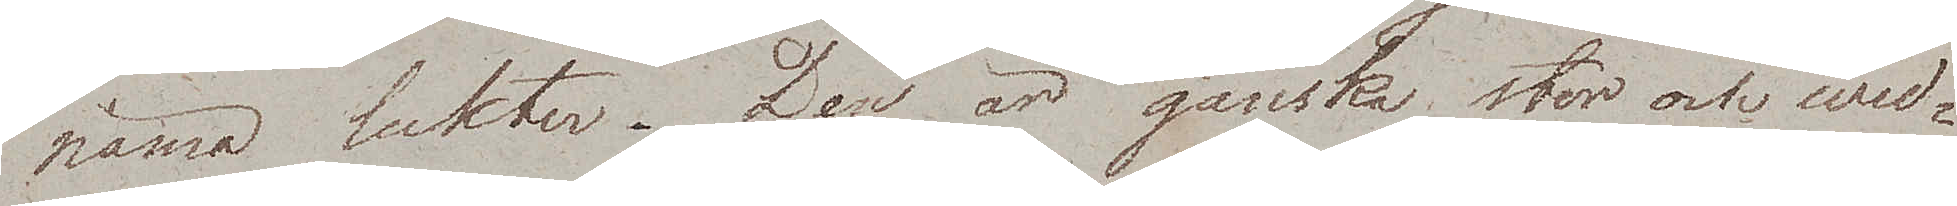näma lukter. Den är ganska stor och wid¬
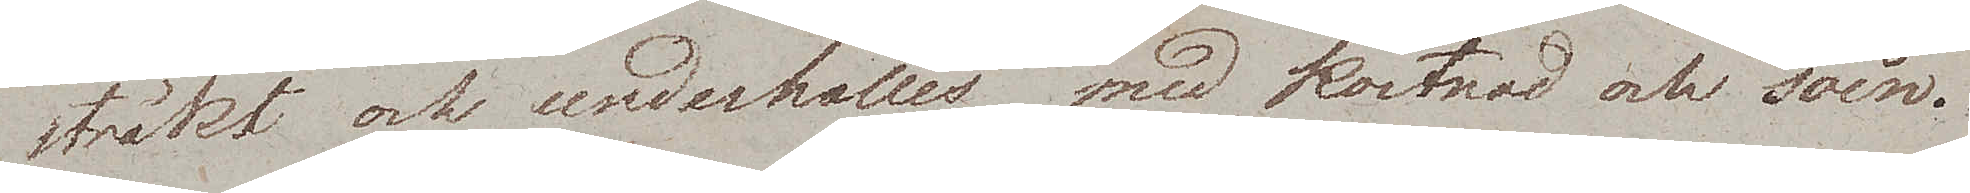sträkt och underhålles med kostnad och soin.
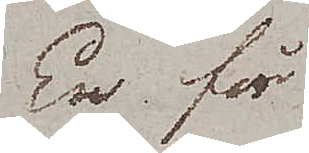En för
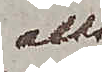alla
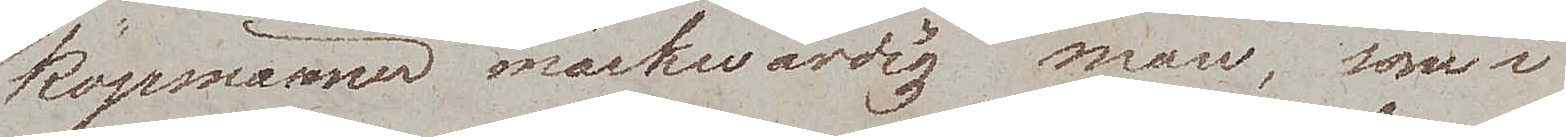köpmännen märkwärdig man, som i
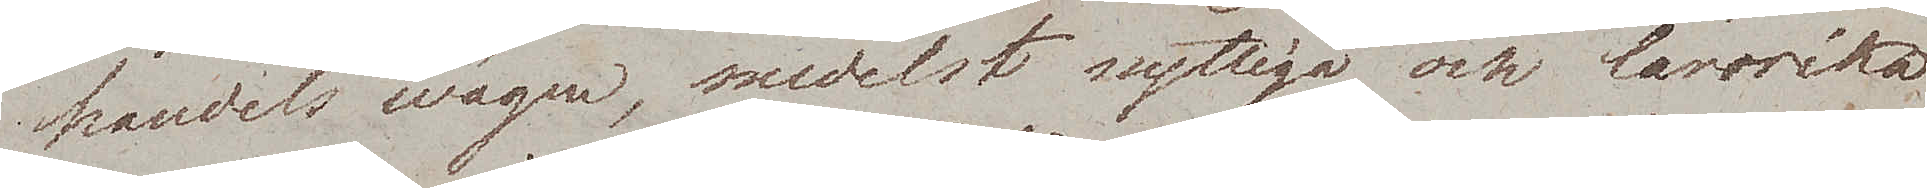handels wägen, medelst nyttiga och lärorika
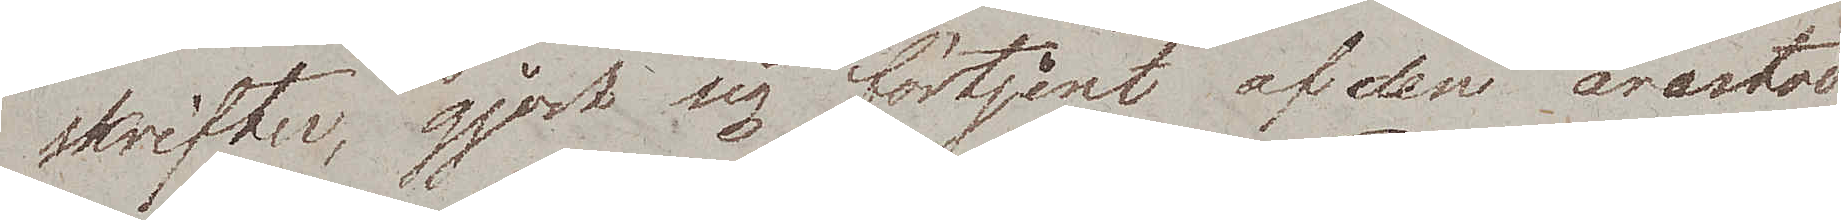skrifter, gjort sig förtjent af den ärestod
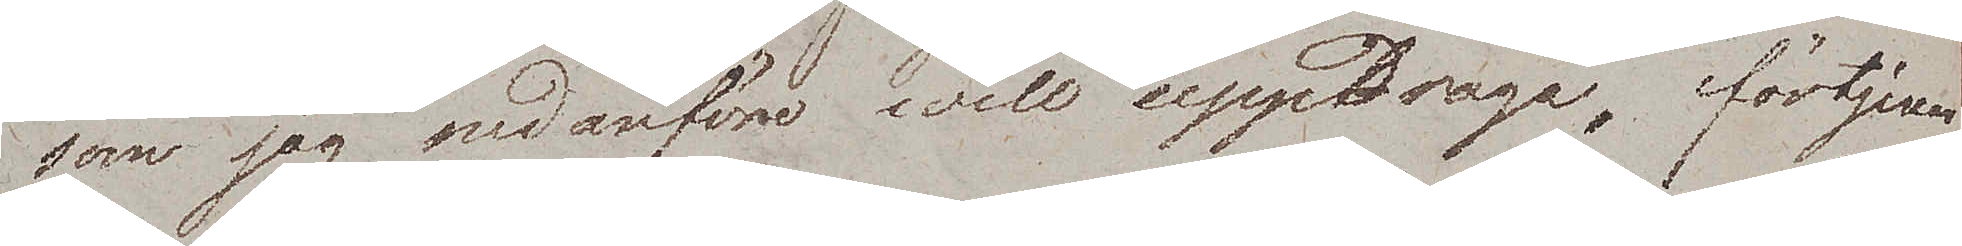som jag nedanföre will uppdraga, förtjenar
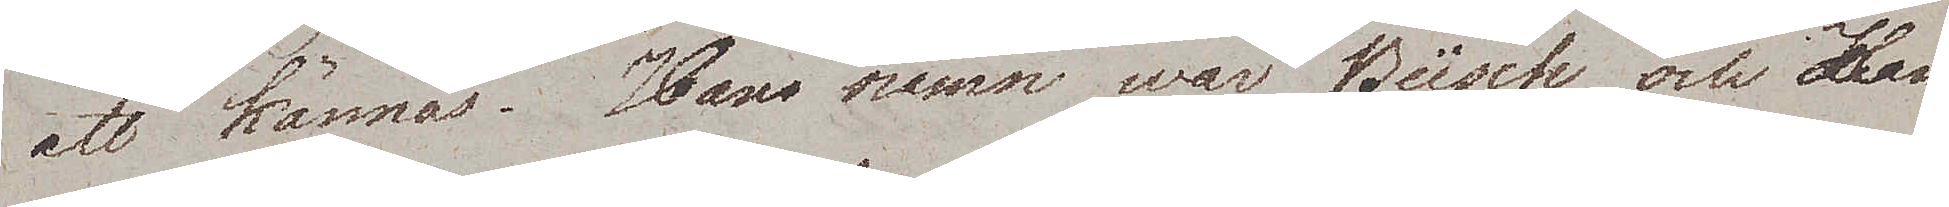att kännas. Hans namn war Büsch och Ham¬
